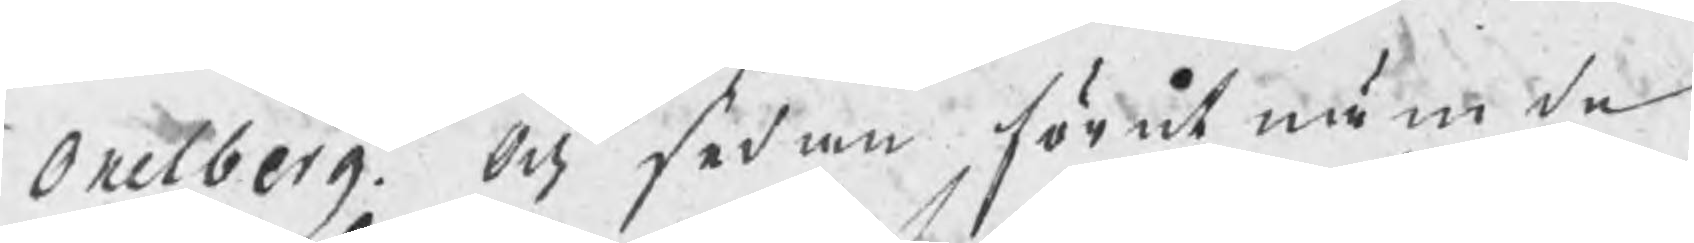Oxelberg. Och sedan förutnämde
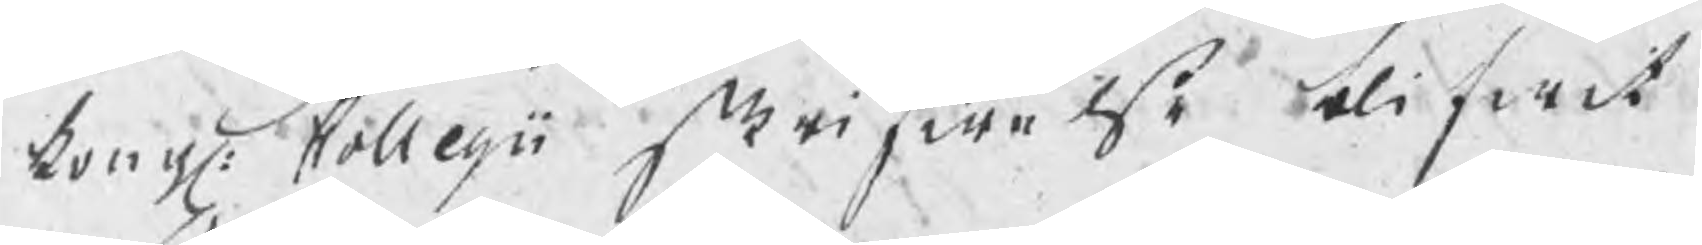kongl: Collegii skrifwelse blifwit
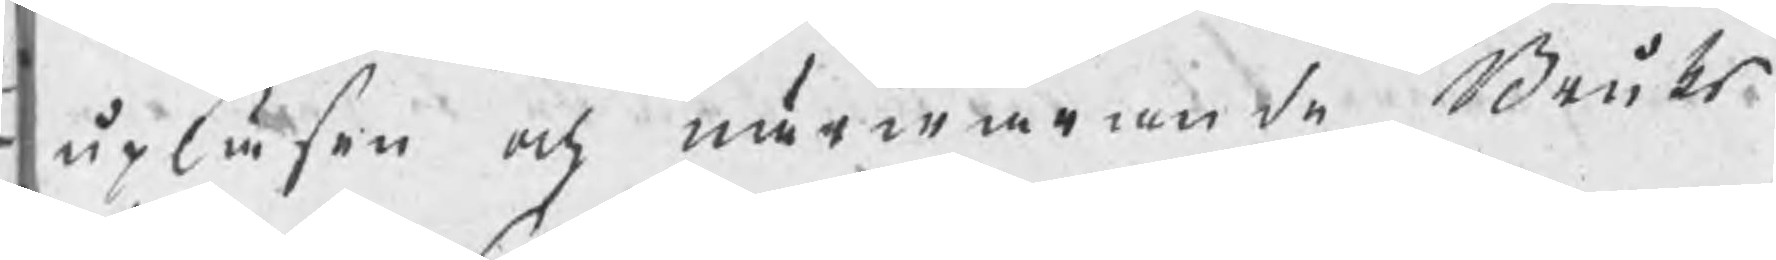upläsen och närwarande Bruks¬
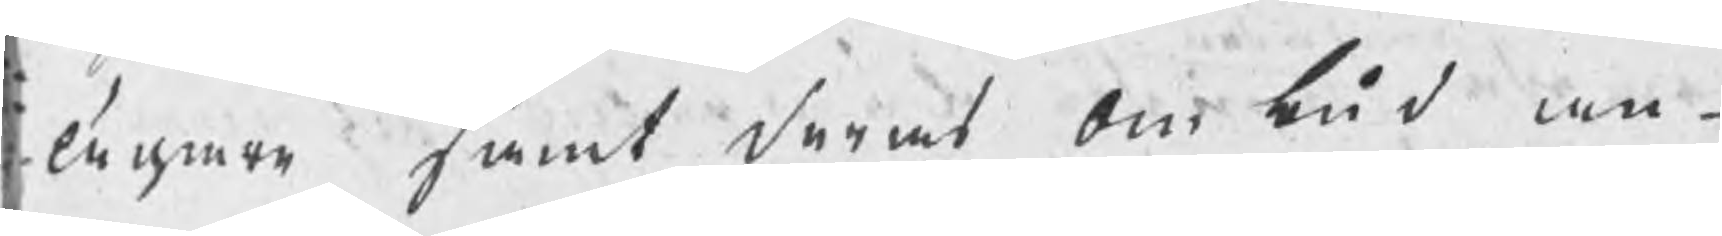ägare samt deras ombud an¬
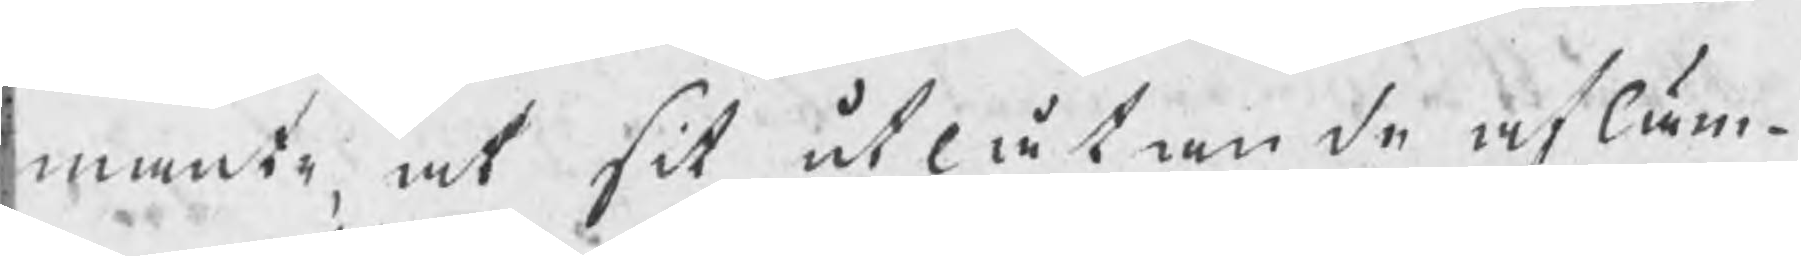mante, at sit utlåtande afläm¬
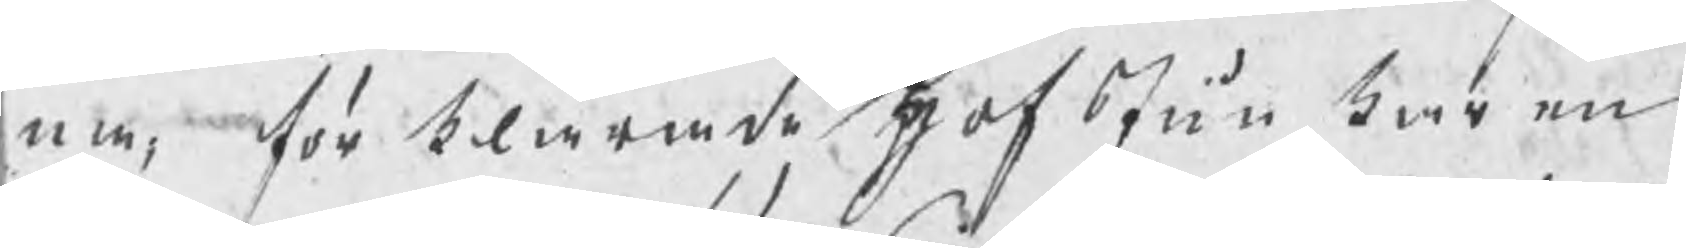na, förklarade hofJunkaren
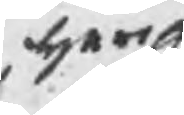herr
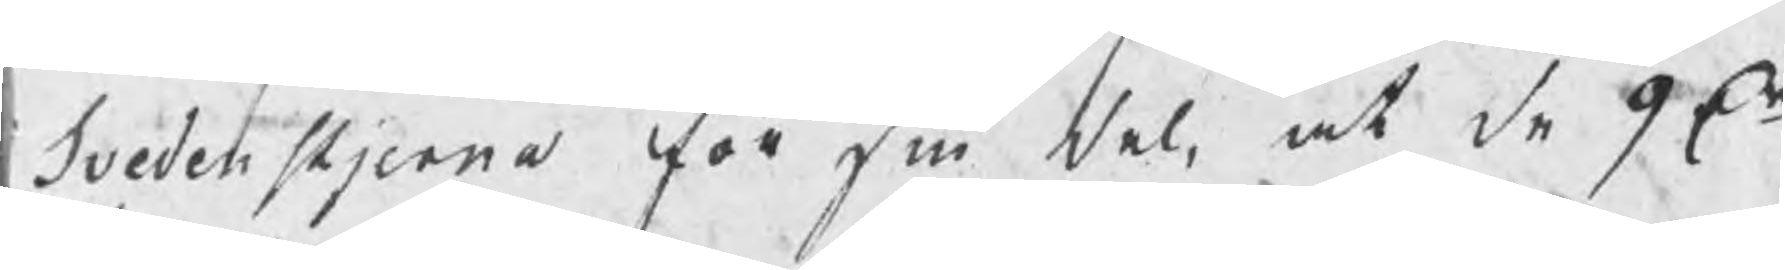Svedenstjerna för sin del, at de 9 Dr
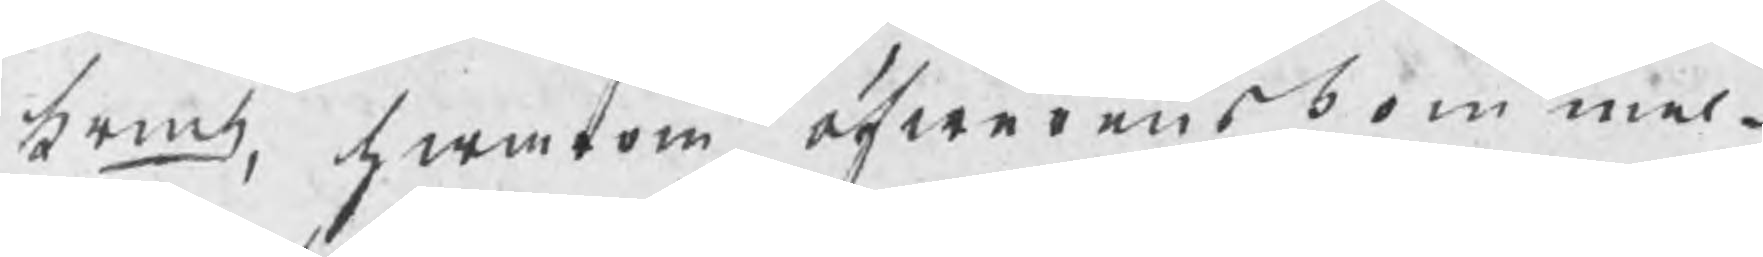krmt, hwarom öfwerenskommel¬
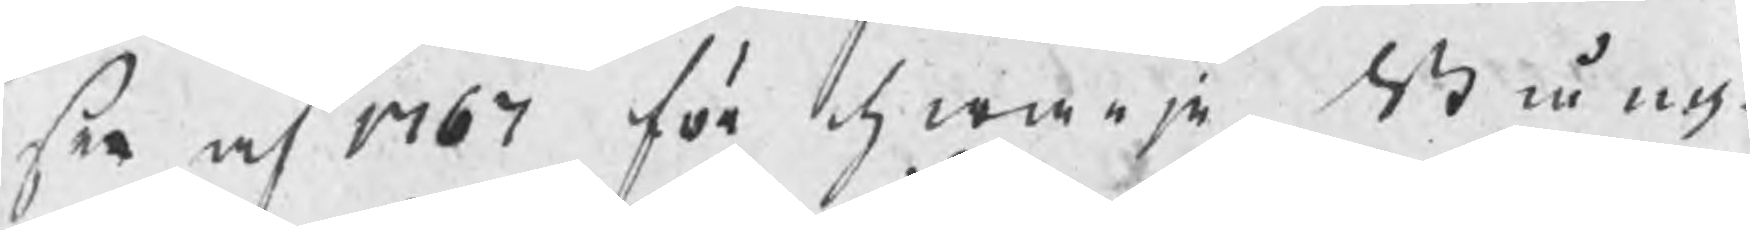sen af 1767 för hwarje Stång¬
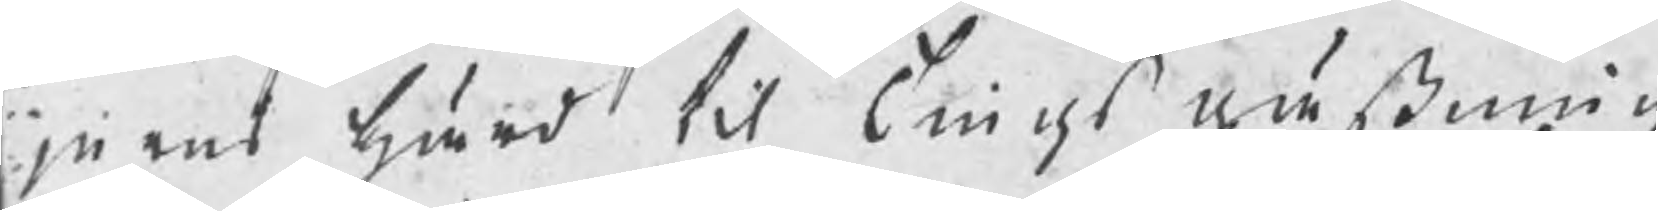jerns härd til Tingsgästnings
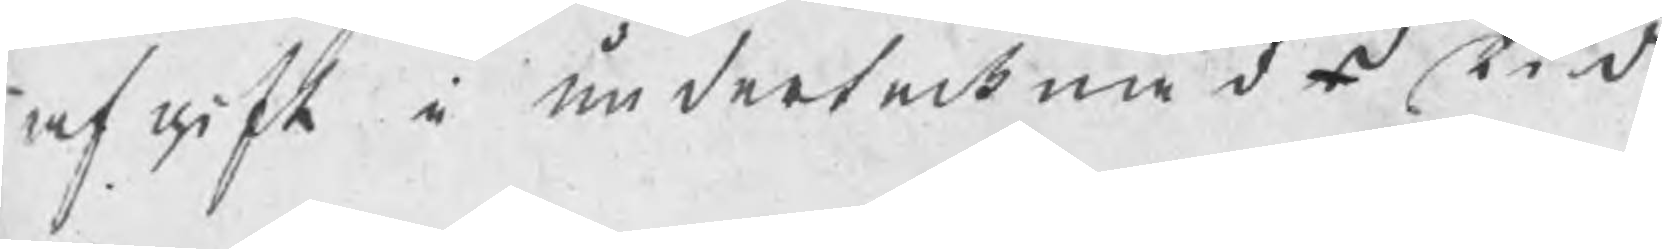afgift i undertecknads tid
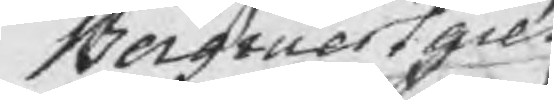Bergmestares
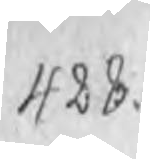428.
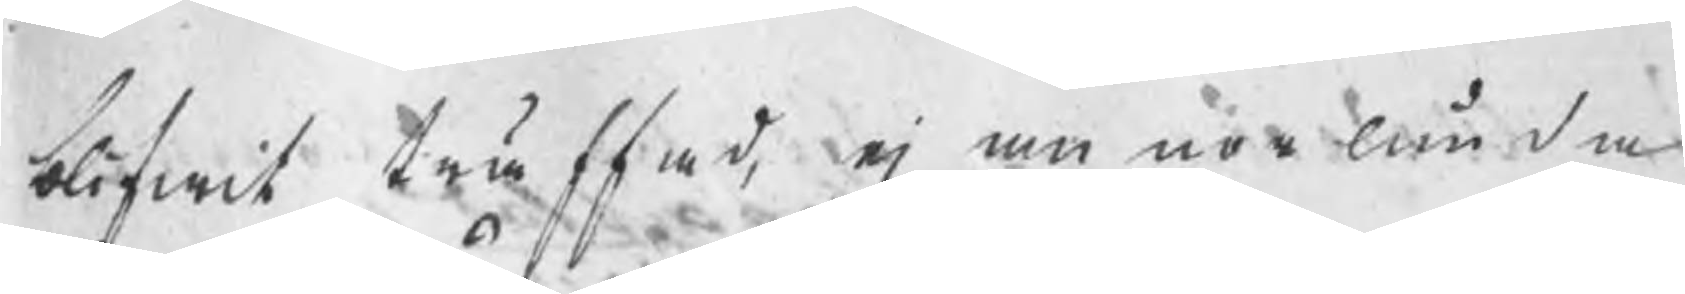blifwit träffad, ej annorlunda
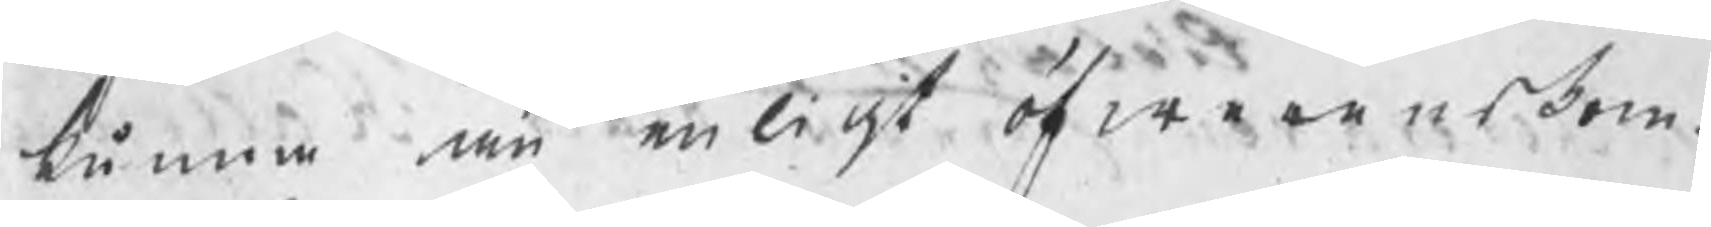kunna än enligt öfwerenskom¬
